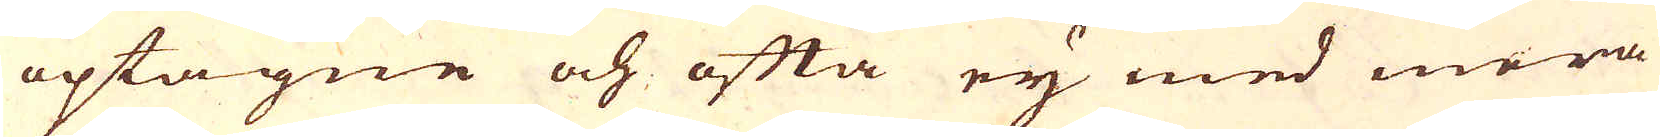optagne och ofta eij med mera
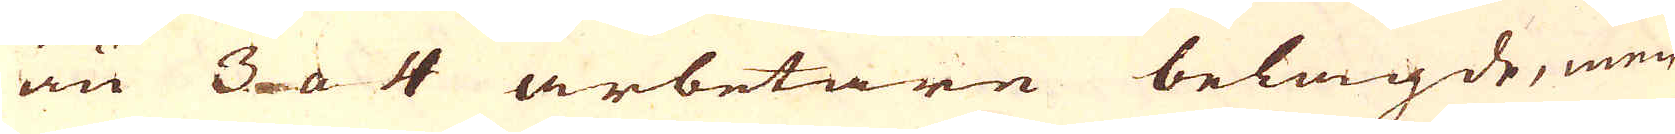än 3 a 4 arbetare belagde, men
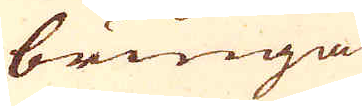bringa
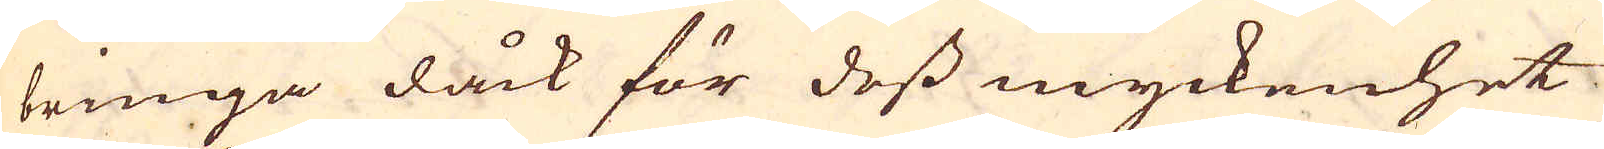bringa dåck för dess myckenhet
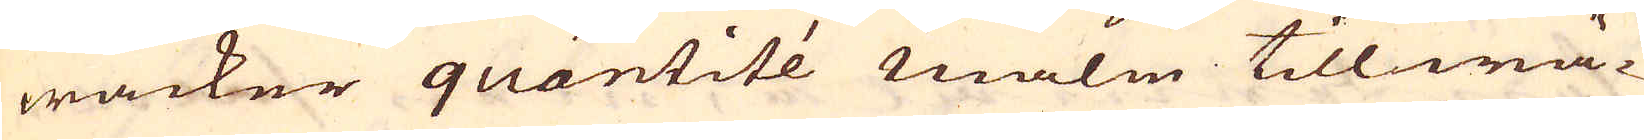wacker quantité malm tillwä-
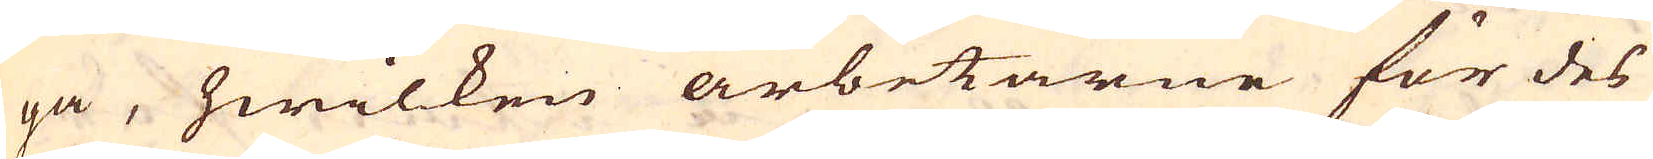ga, hwilken arbetarne för des
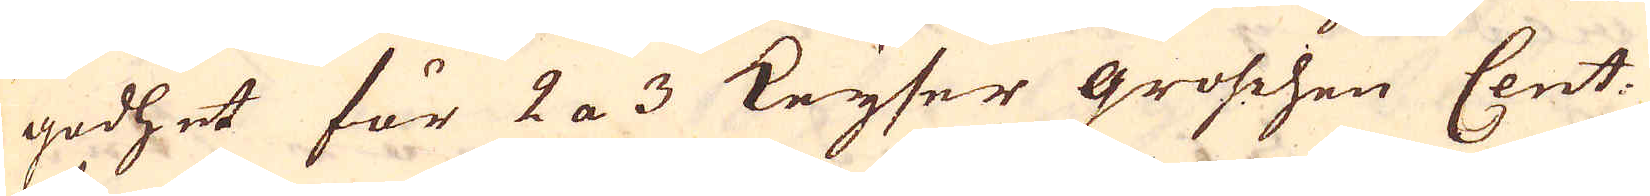godhet för 2 a 3 Keyser groschen Cent.
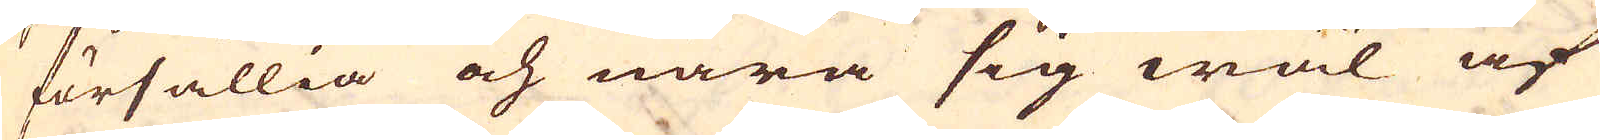försällia och nära sig wäl af
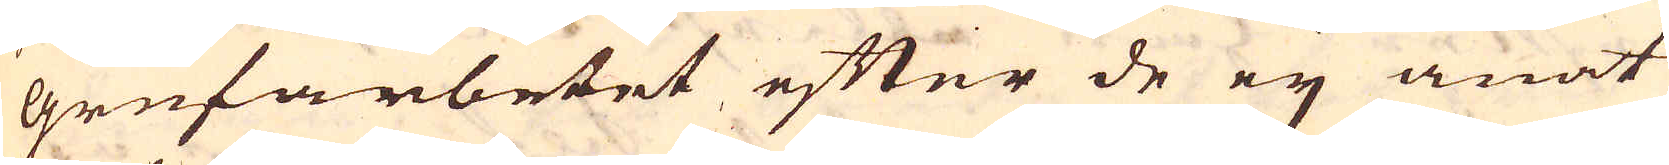grufarbetet efter de eij anat
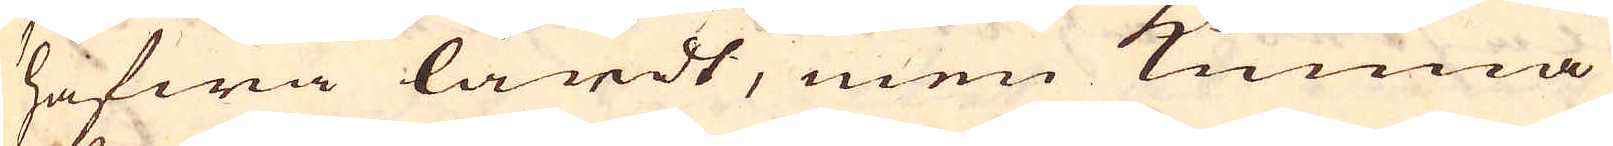hafwa lärdt, men kunna
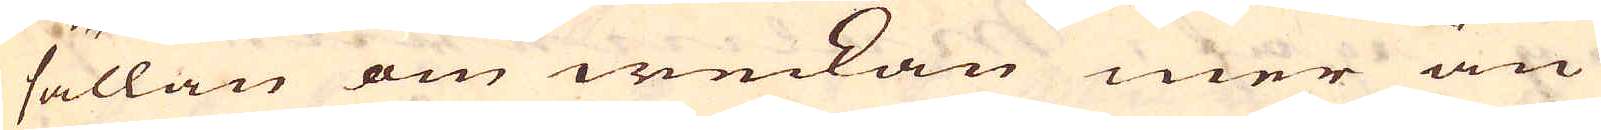sällan om weckan mer än
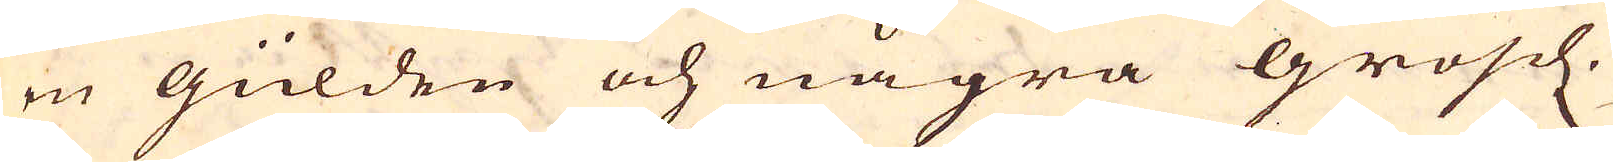en gülden och några grosch.
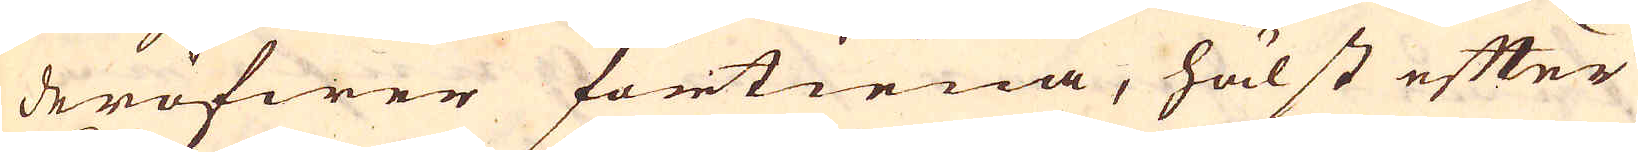deröfwer förtiena, hälst efter
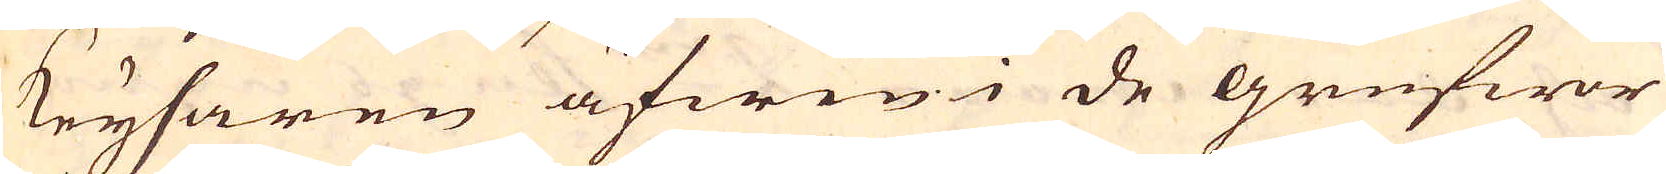Keysaren äfwen i de grufwor
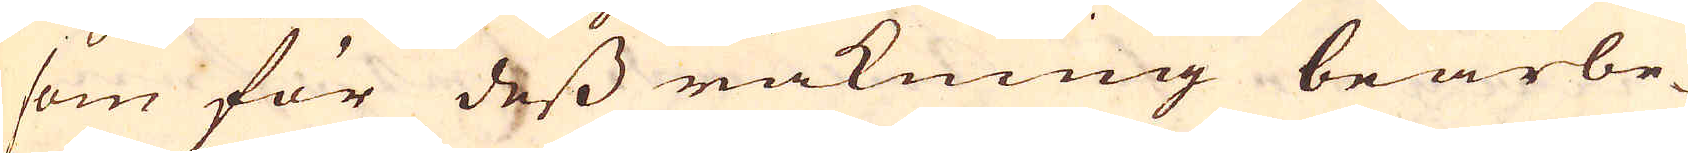som för dess räkning bearbe-
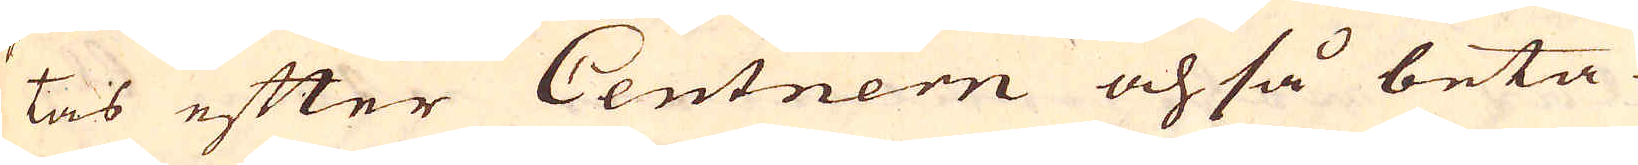tas efter Centnern ochså beta-
